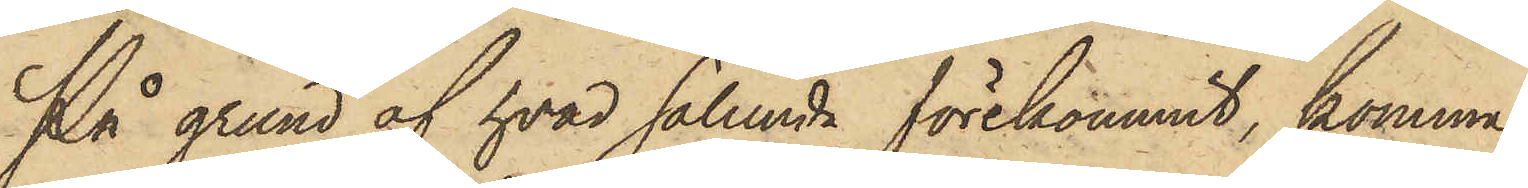På grund af hvad sålunda förekommit, komma
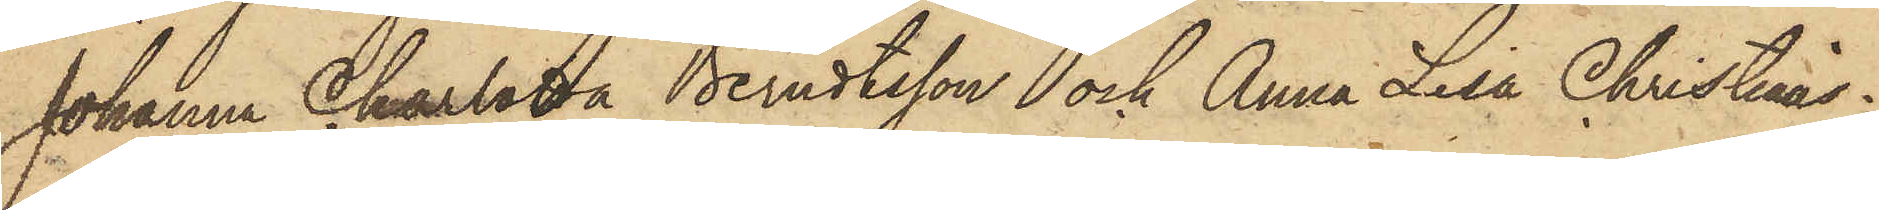Johanna Charlotta Berndtsson och Anna Lisa Christians¬
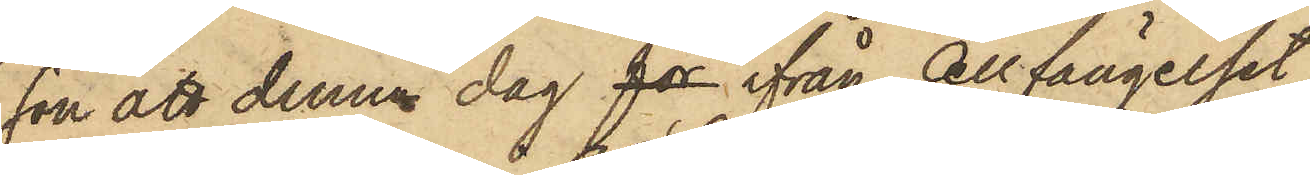son att denna dag for ifrån Cellfängelset
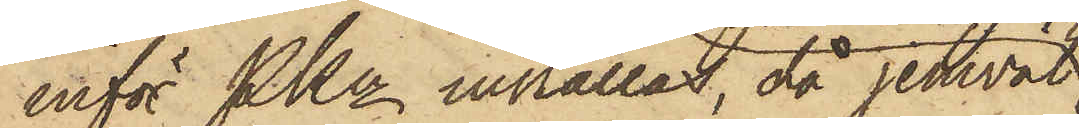inför PKn inställas, då jemväl
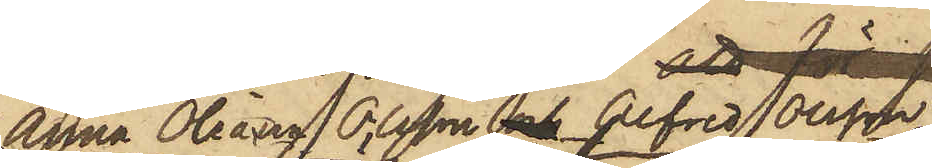Anna Oleana Olsson, och Alfred Olsson
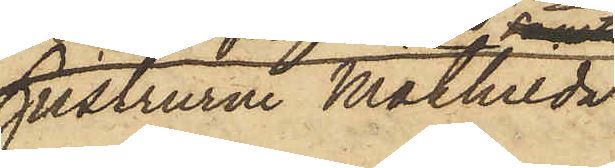hustrurne Mathilda
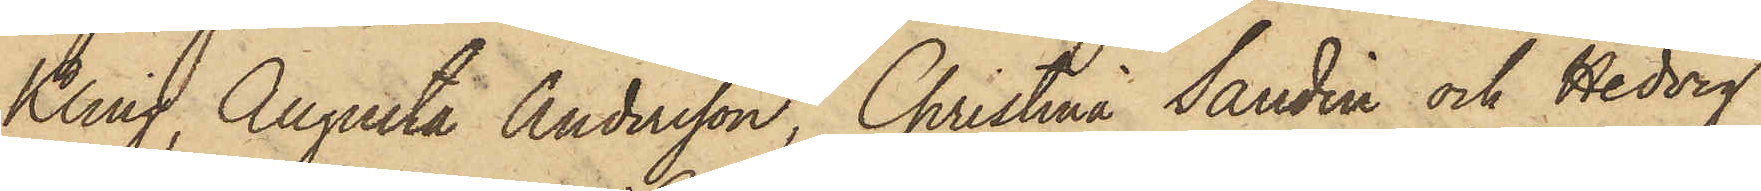Kling, Augusta Andersson, Christina Sandin och Hedvig
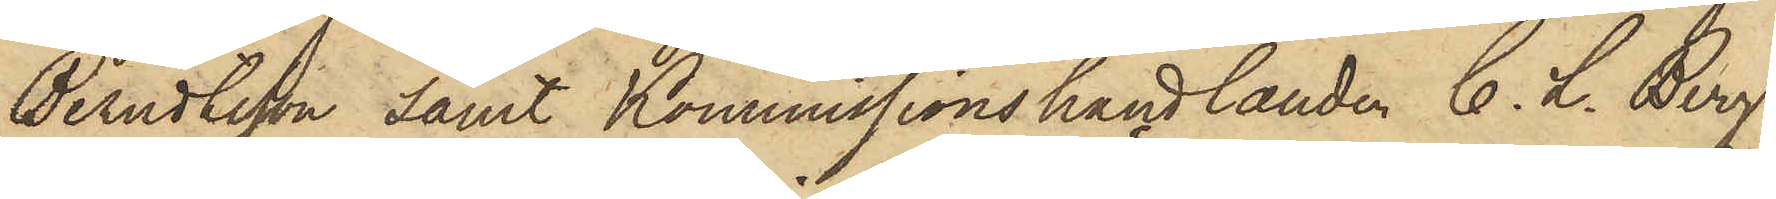Berndtsson samt Kommissionshandlanden C. L. Berg
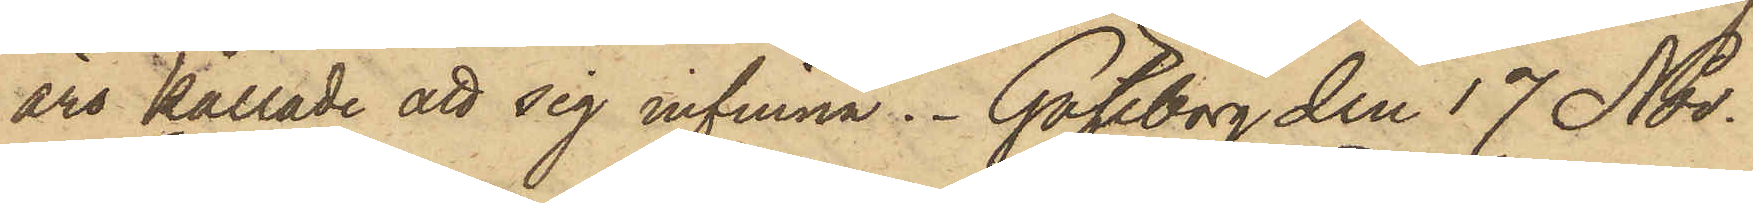äro kallade att sig infinna. Göteborg den 17 Nov.
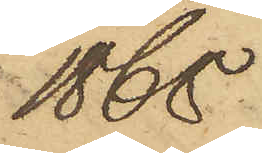1868
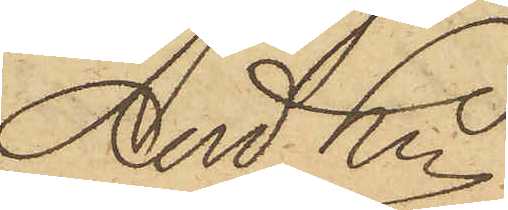And Ln
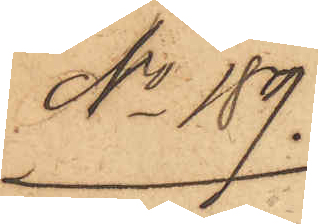No 189.
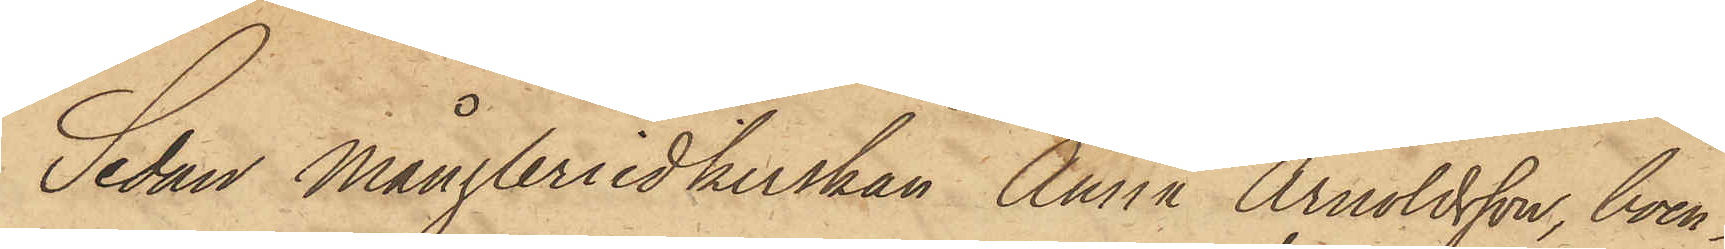Sedan Mångleriidkerskan Anna Arnoldsson, boen¬
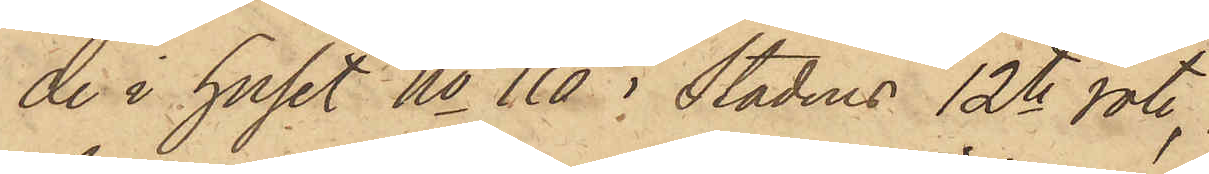de i huset No 110 i Stadens 12te rote,
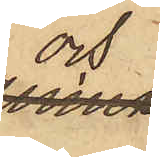och
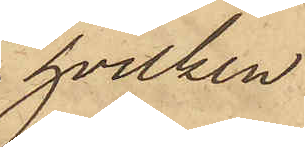hvilken
